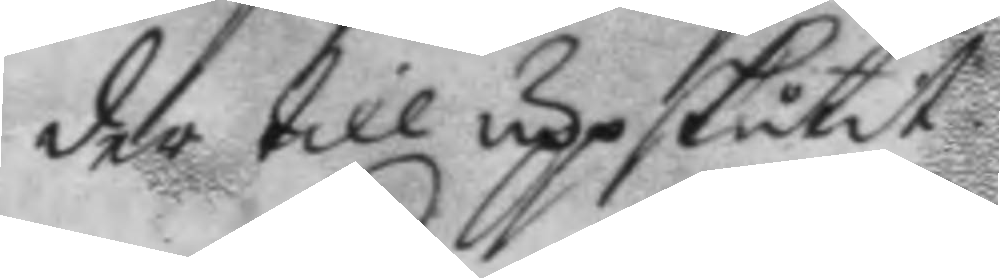der till uppskutit.
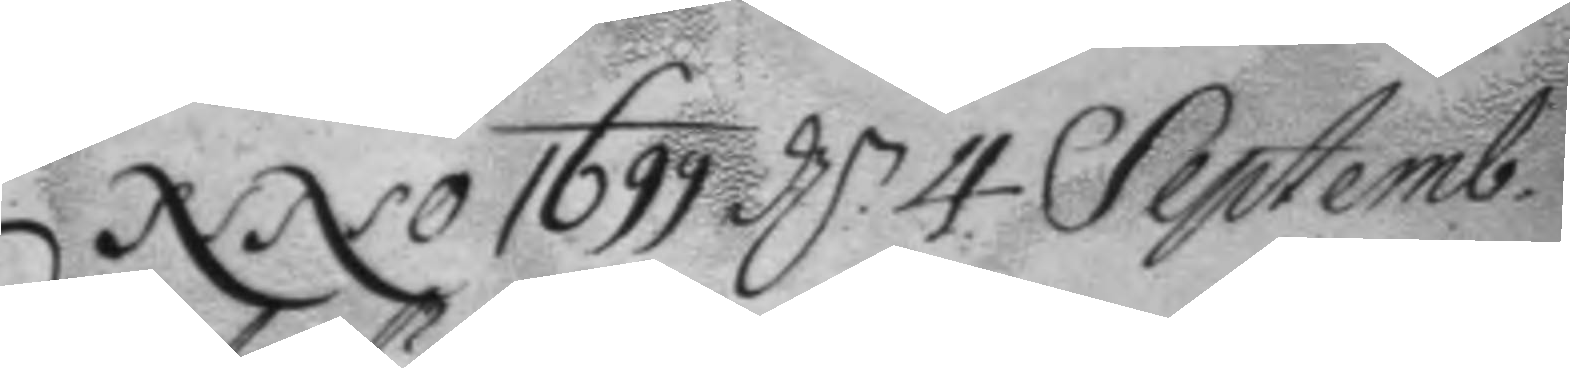Anno 1699 d.n 4 Septemb.
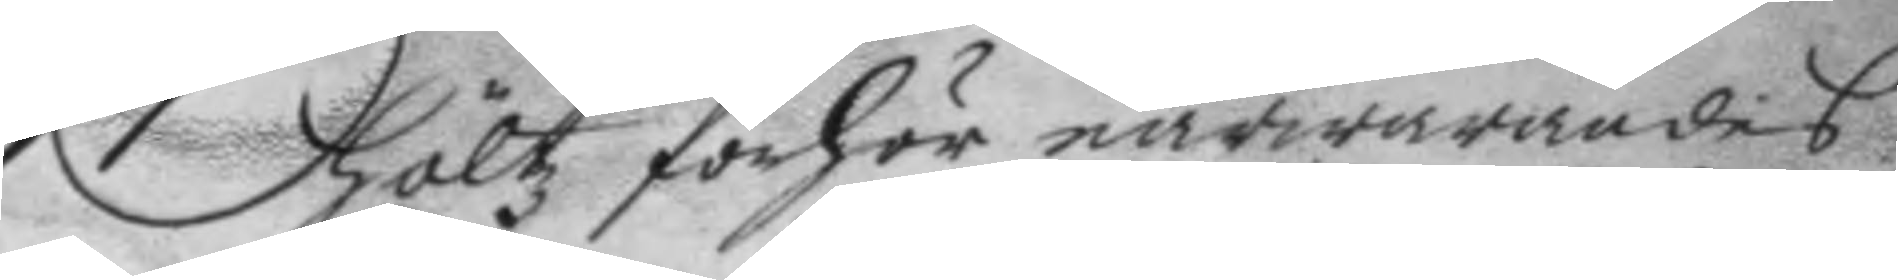höltz förhör närwarandes
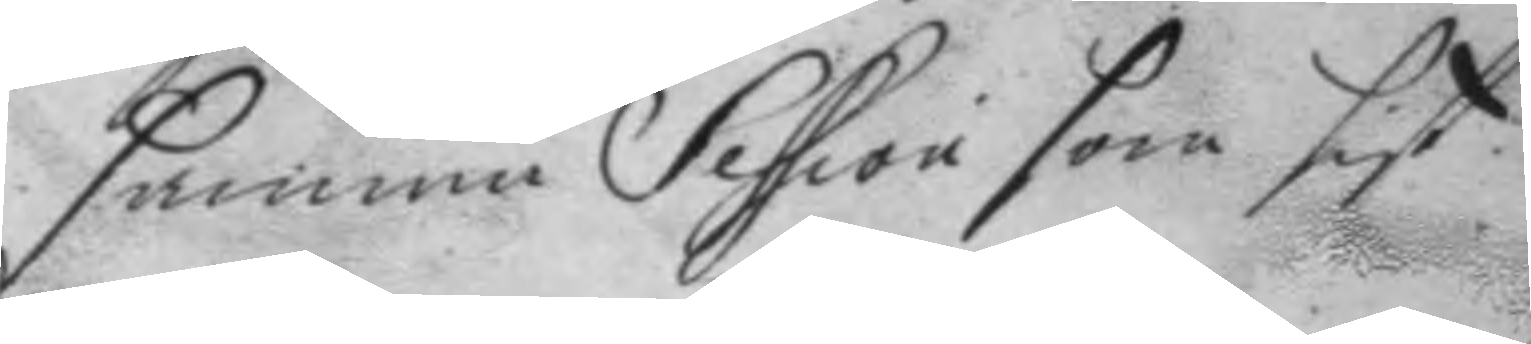samma Session som sist.
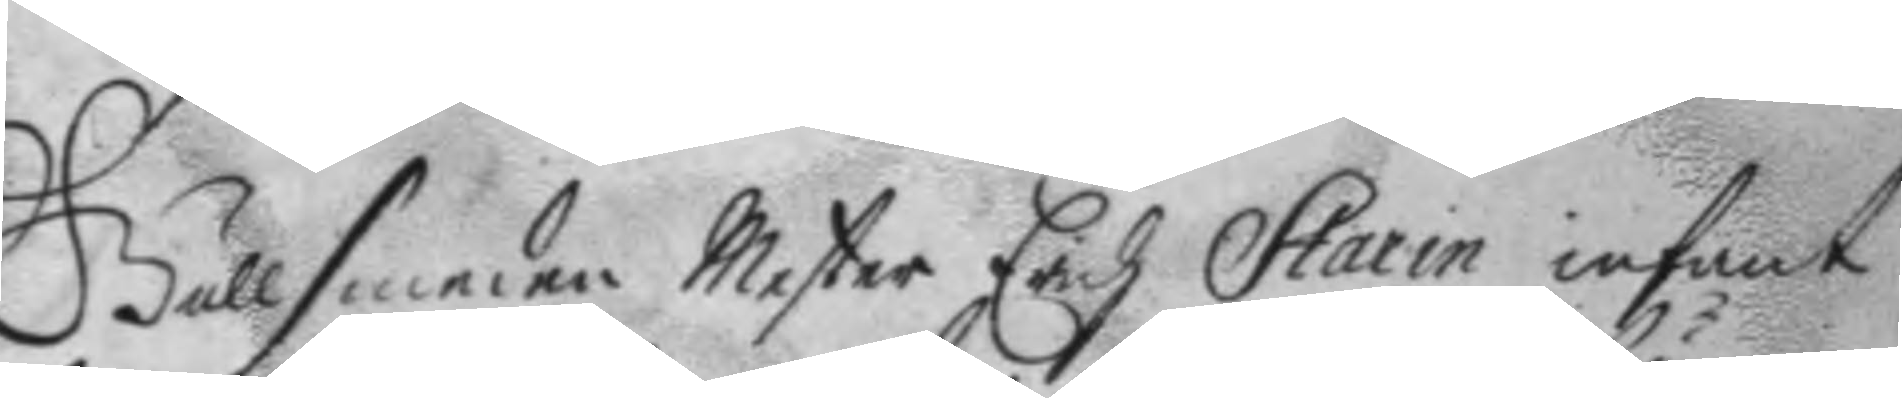Gullsmeden Mester Erich Starin infant
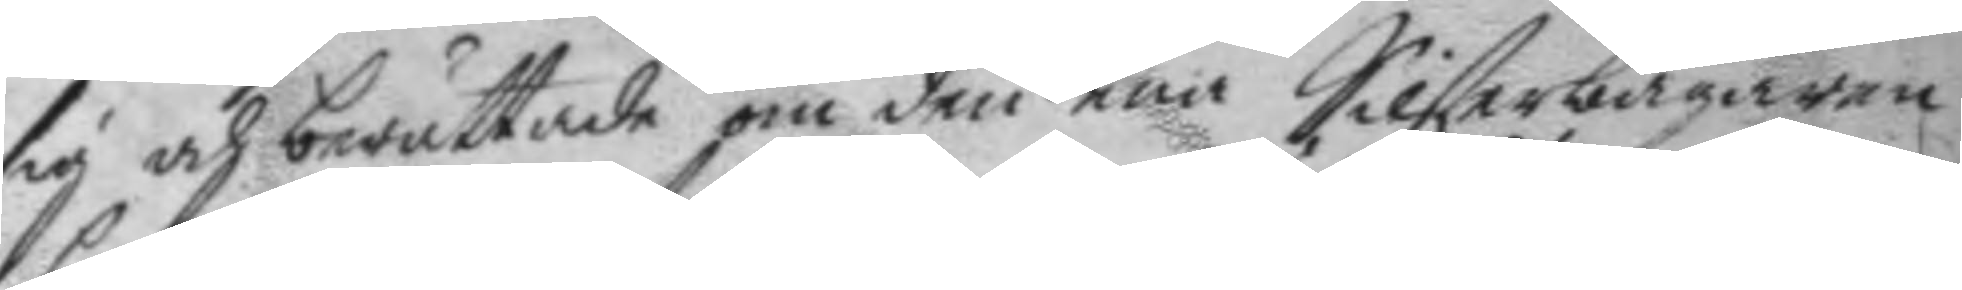sig och berättade om den ena Silferbägaren
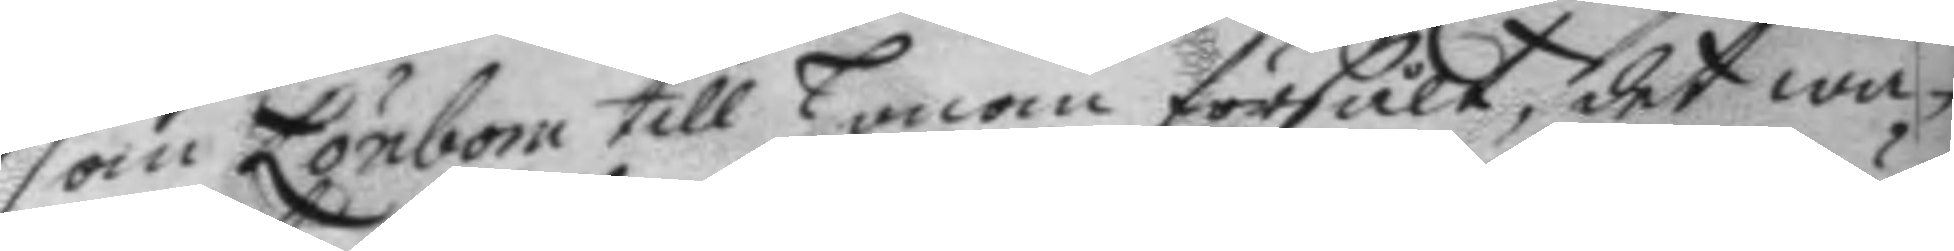som Lönbom till honom försålt, det wa¬
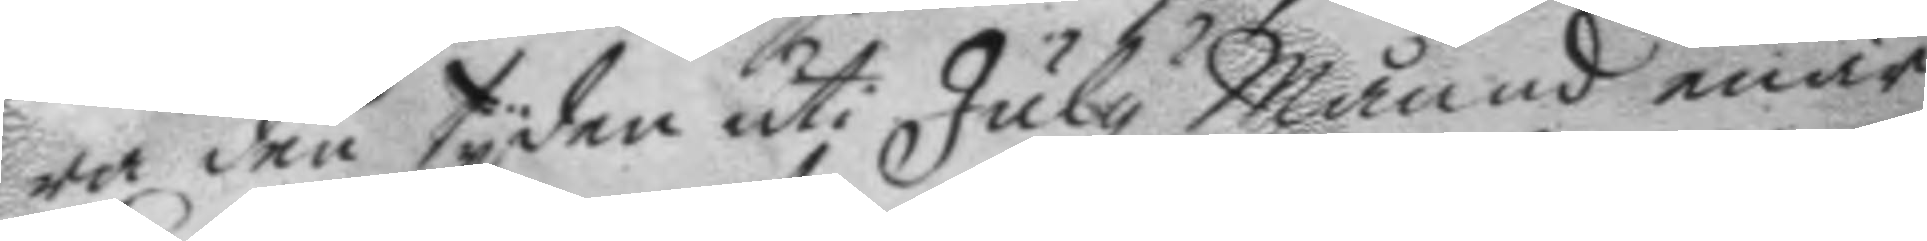ra den tyden uti July Månad enär
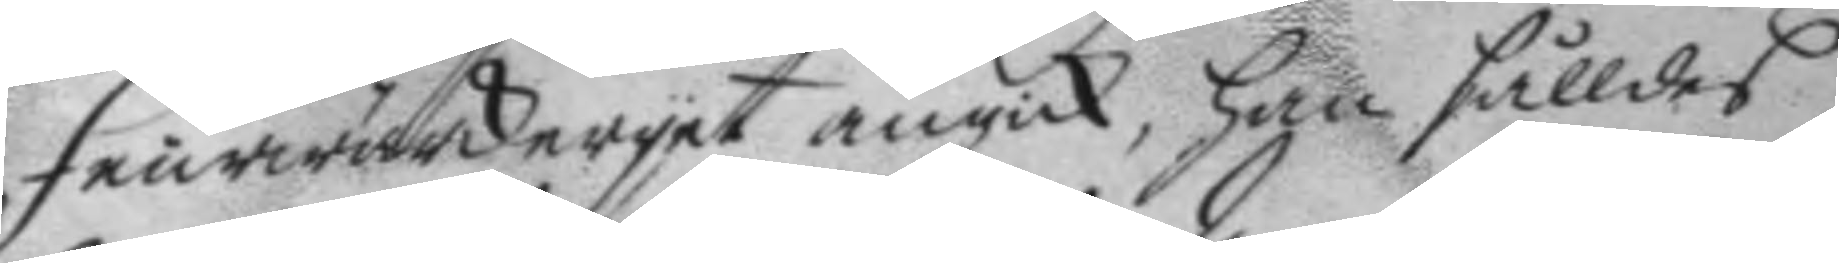Feurwärkeryet angick, han sålldes,
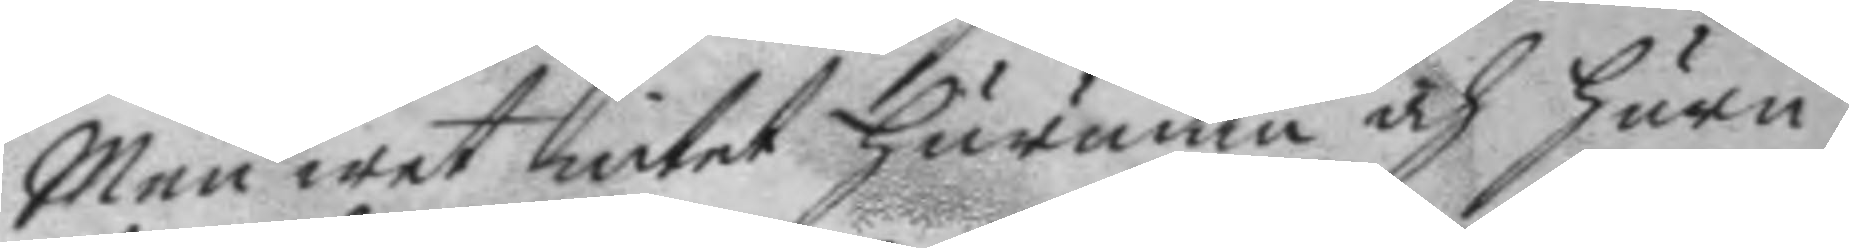Men wet intet hurudan och huru
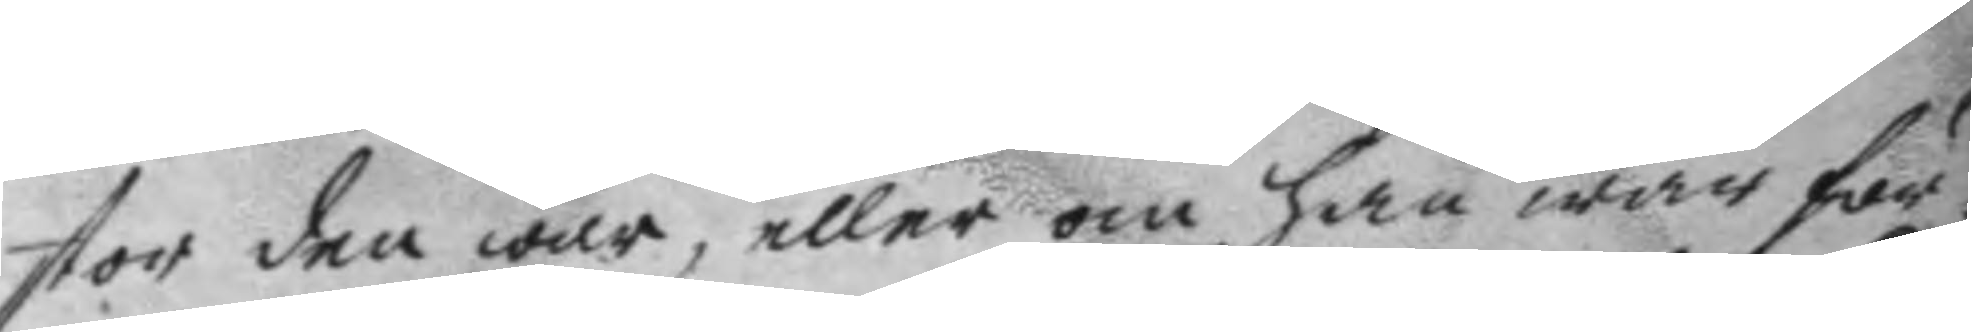stor den war, eller om han war för¬
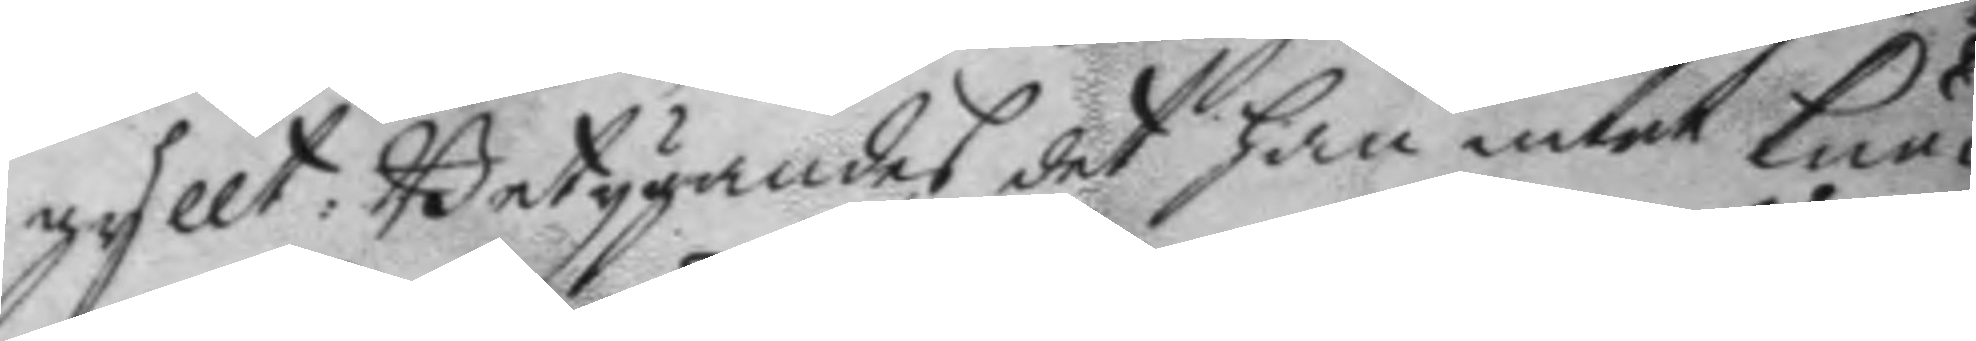gyllt: Betygandes det han intet kun¬
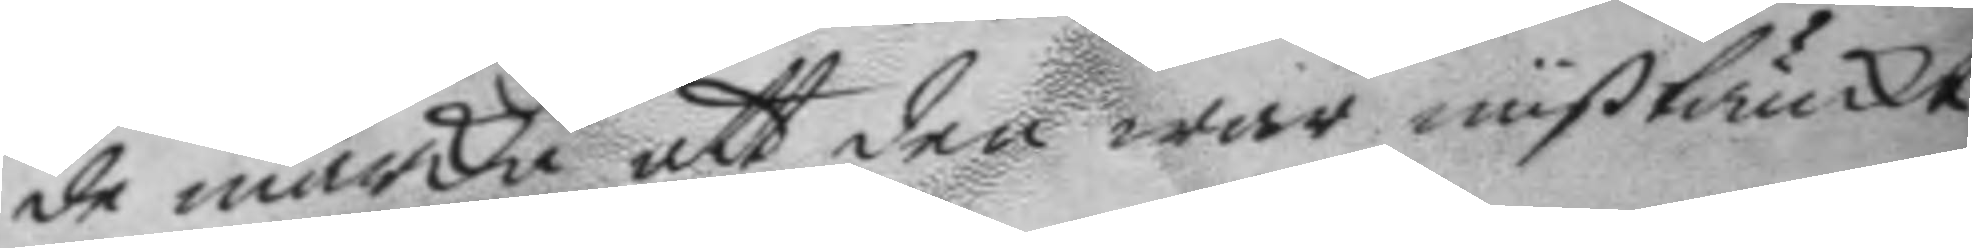de märka att den war mißtänckt
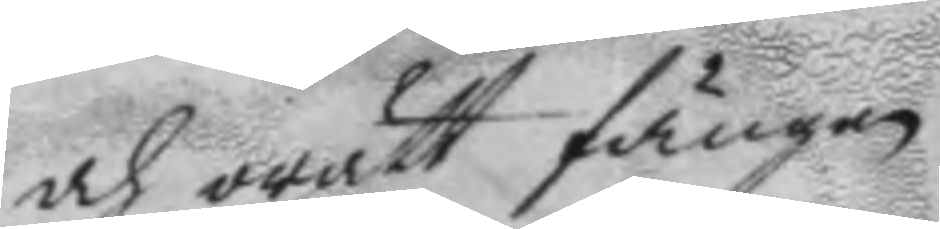och orätt fången.
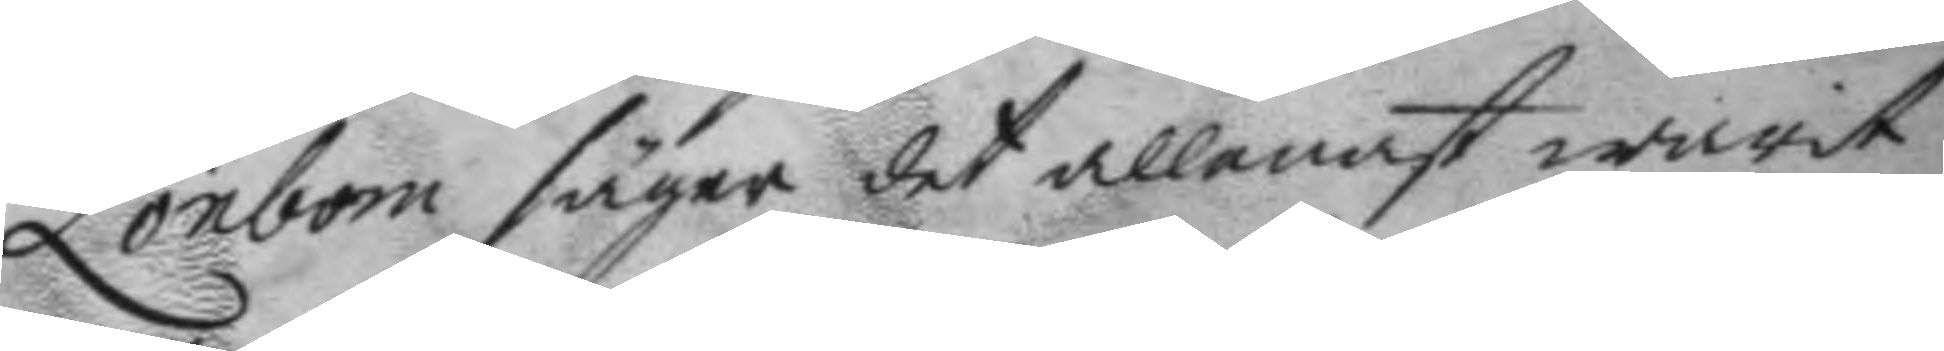Lönbom säger det allenast warit 
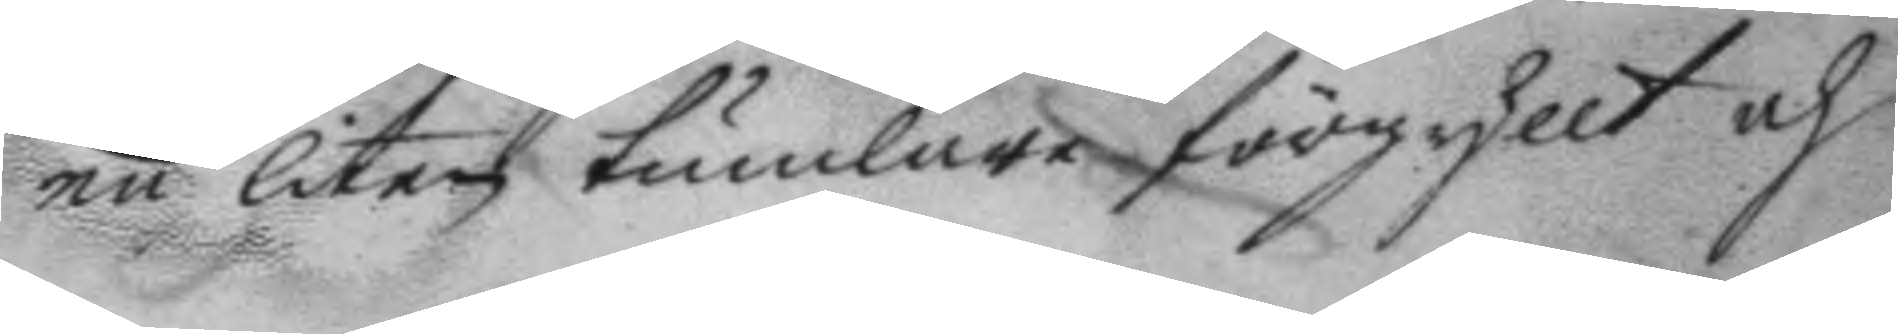en liten tumlare förgyllt och
